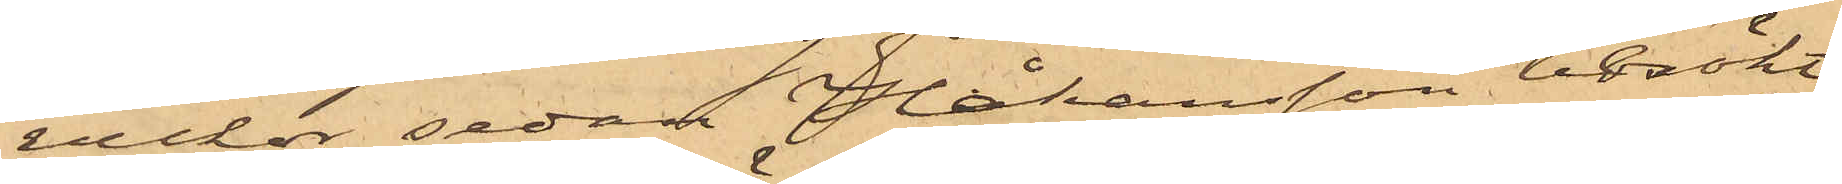veckor sedan Håkansson besökt
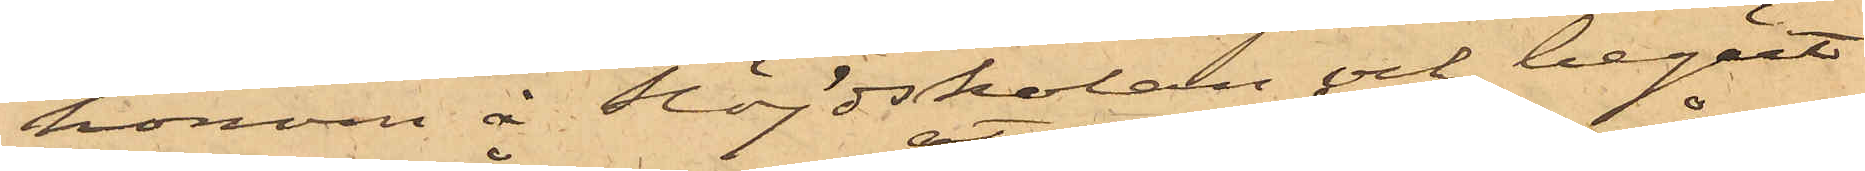honom å Slöjdskolan och begärt
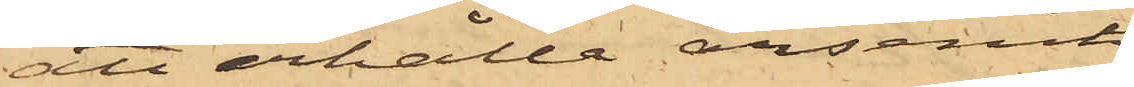att erhålla arsenik
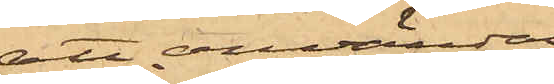att användas
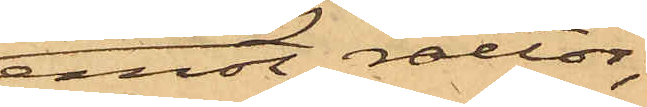emot råttor;
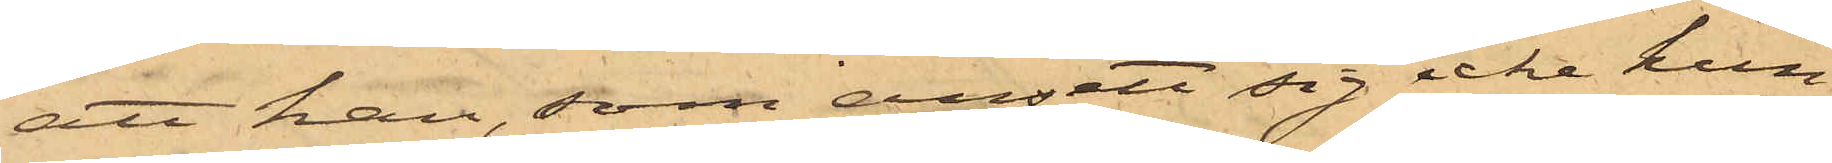att han, som ansett sig icke kun¬
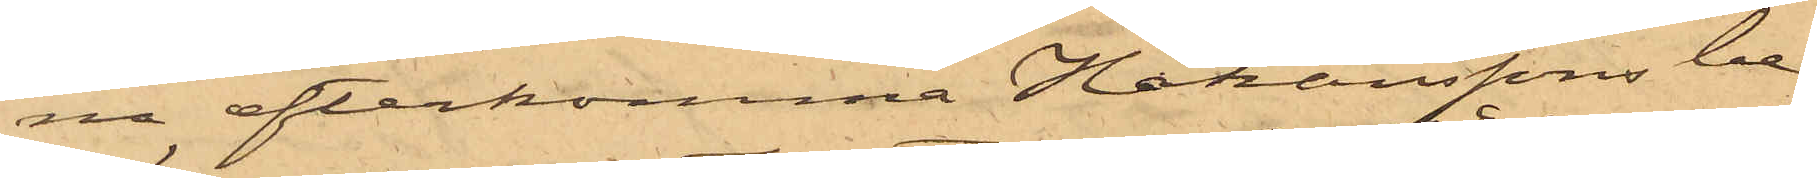na efterkomma Johanssons be¬
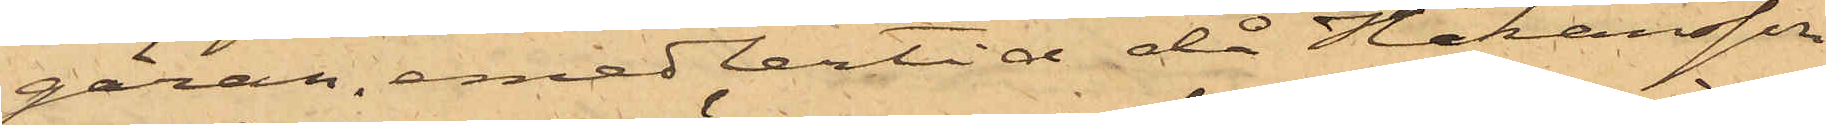gäran, emedlertid, då Johansson
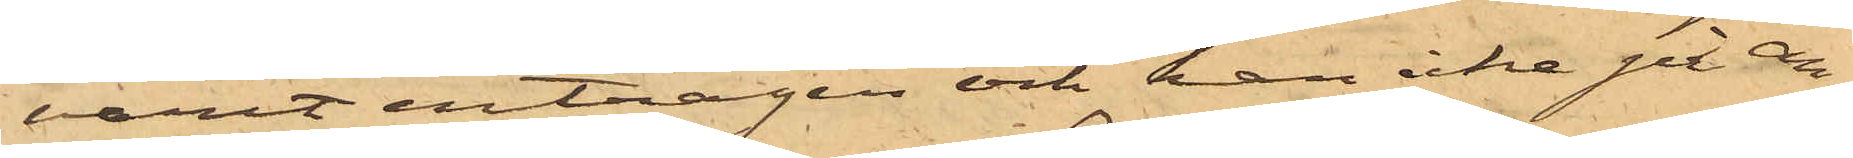varit enträgen och han icke på an¬
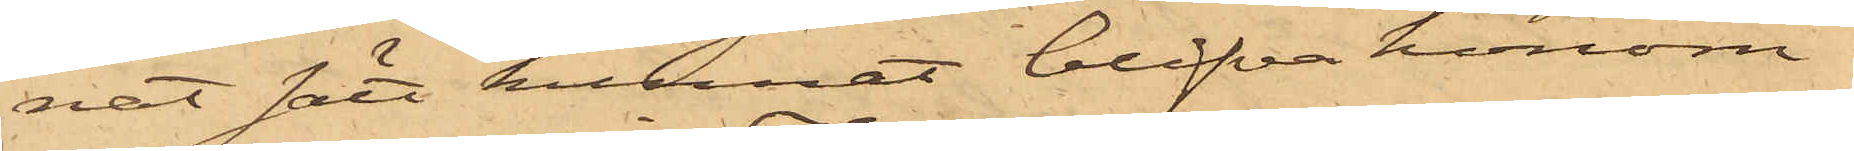nat sätt kunnat blifva honom
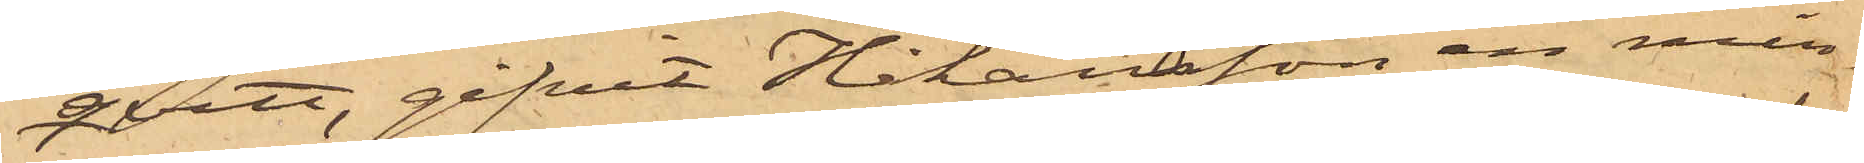qvitt, gifvit Håkansson en min¬
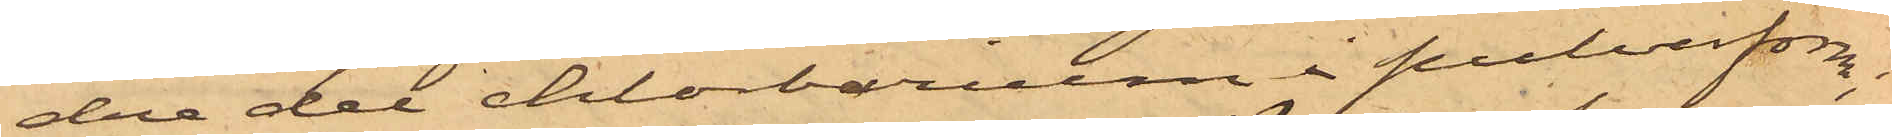dre del chlorbarium i pulverform;
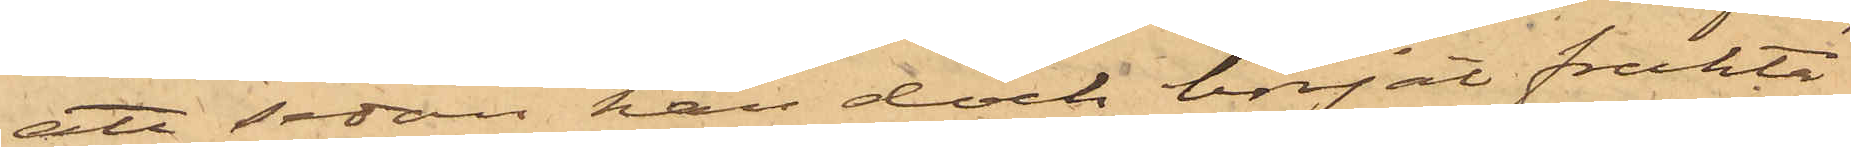att sedan han dock börjat frukta
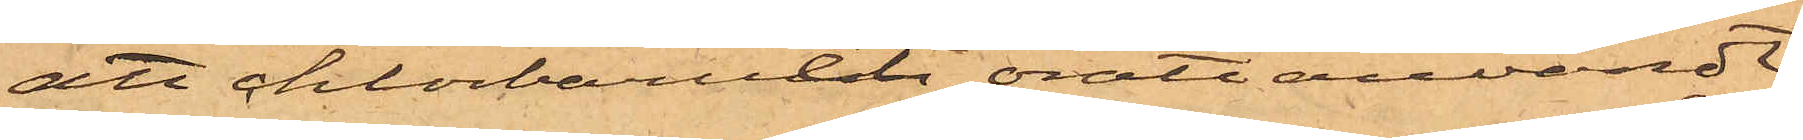att chlorbariet, orätt användt,
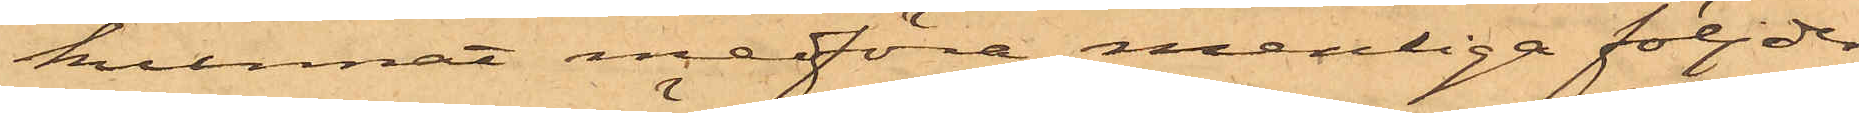kunnat medföra menliga följder
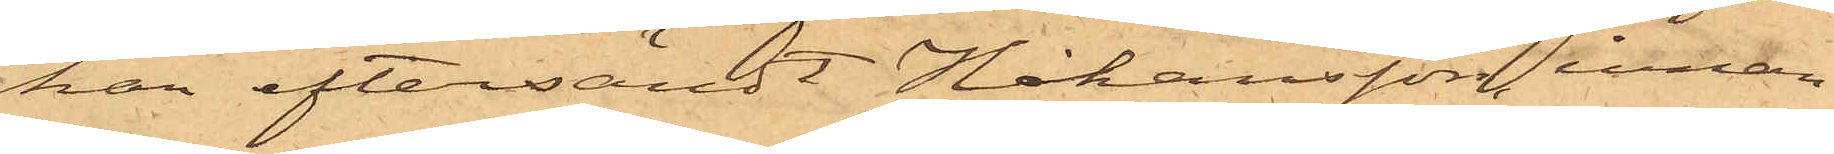han eftersändt Håkansson innan
